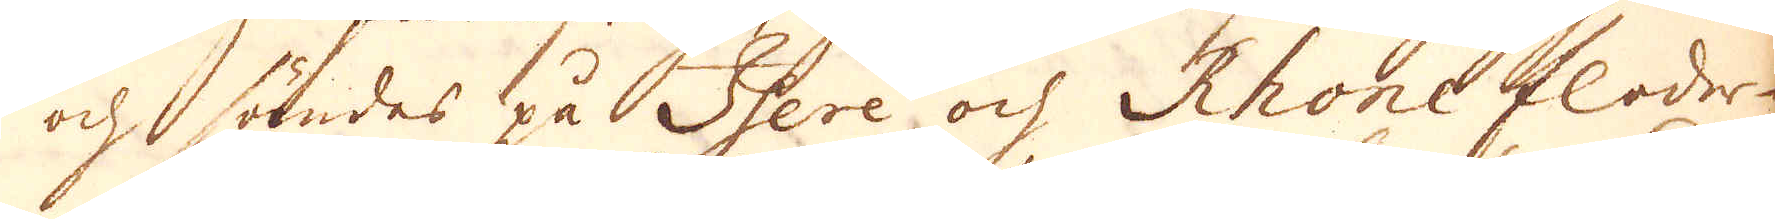och sändes på Isere och Rhone floder-
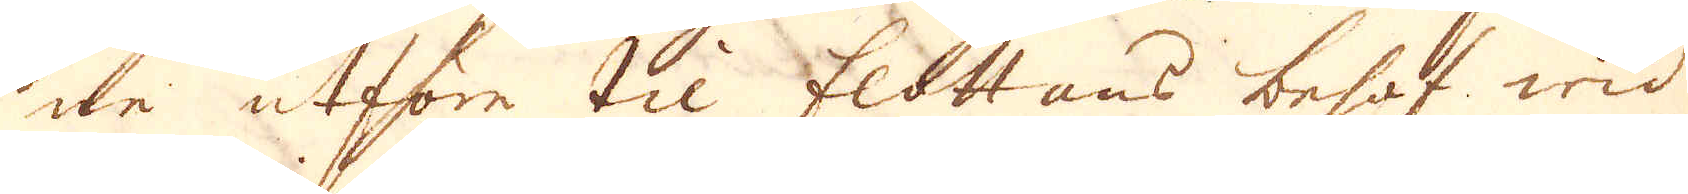ne utföre til flottans behof wid
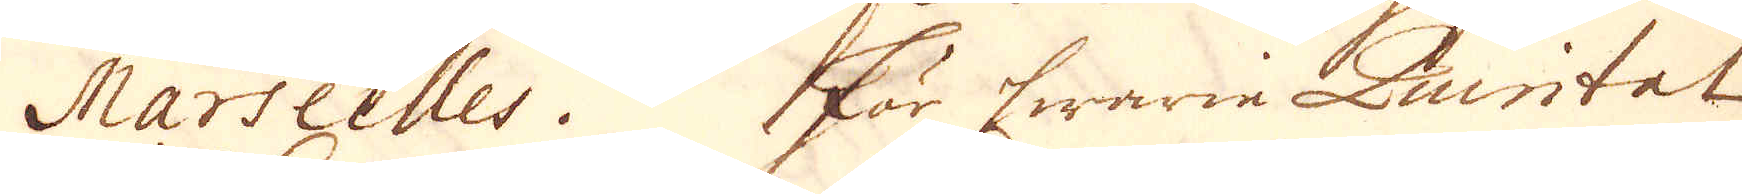Marseilles. För hwarie Quintat
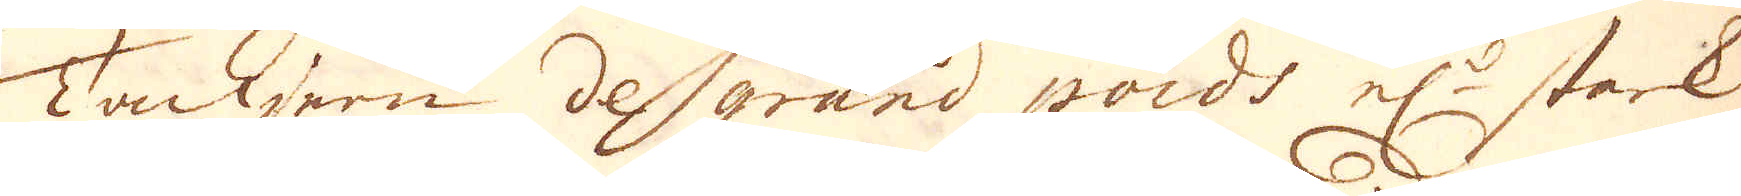Tackjern de grand poids el:r stark
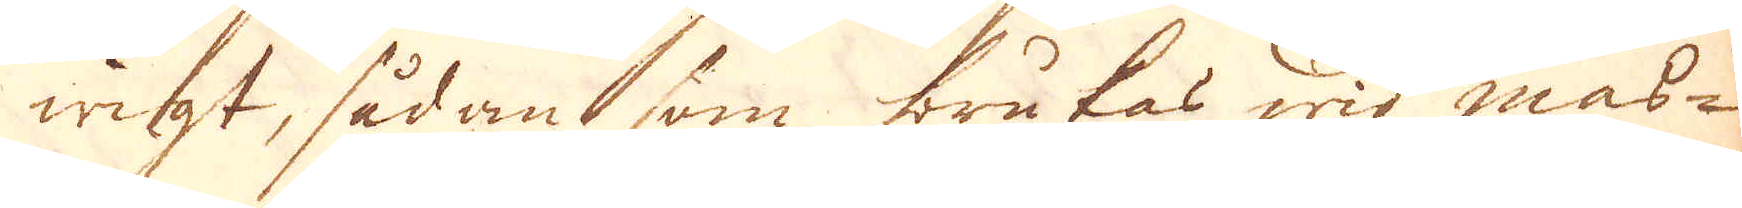wigt, sådant som brukas wid mas-
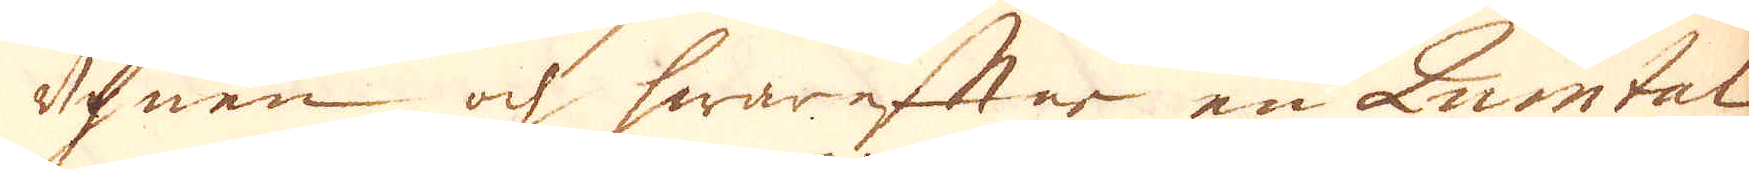ugnen och hwareftar en Quintal
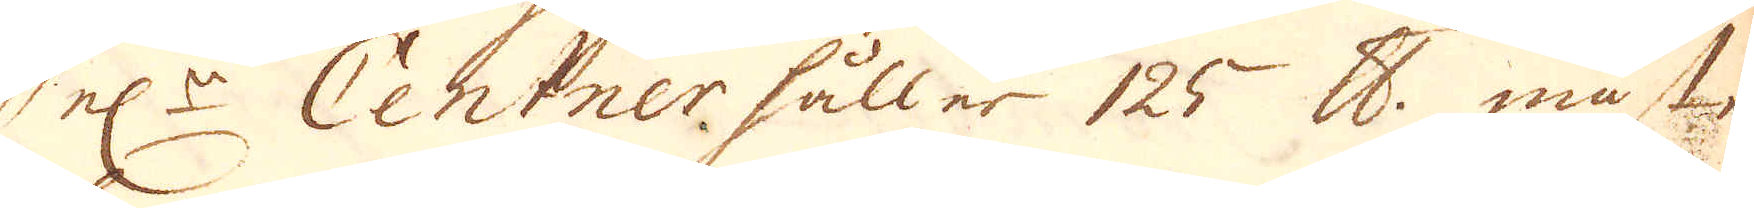el:r Centner håller 125 skålpund. måste
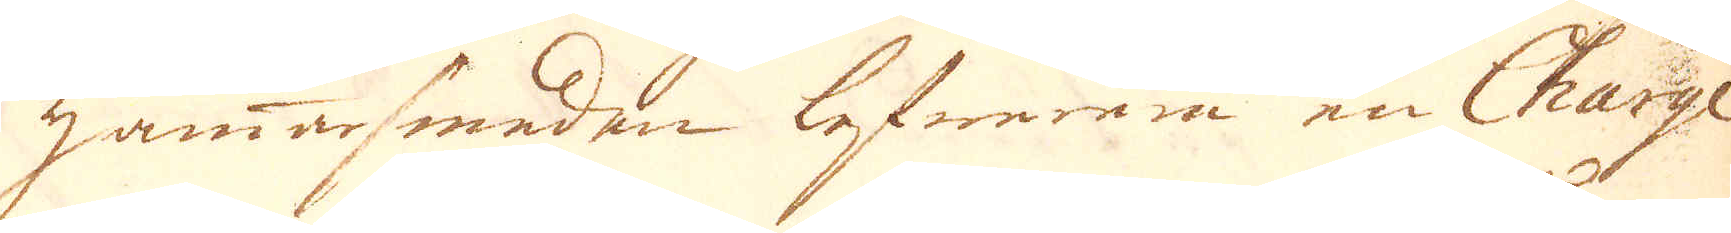hammarsmeden lefwerera en Charge
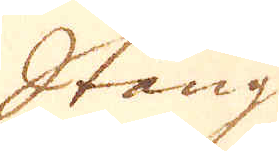Stång
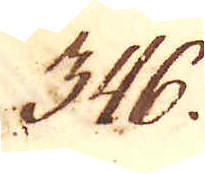346.
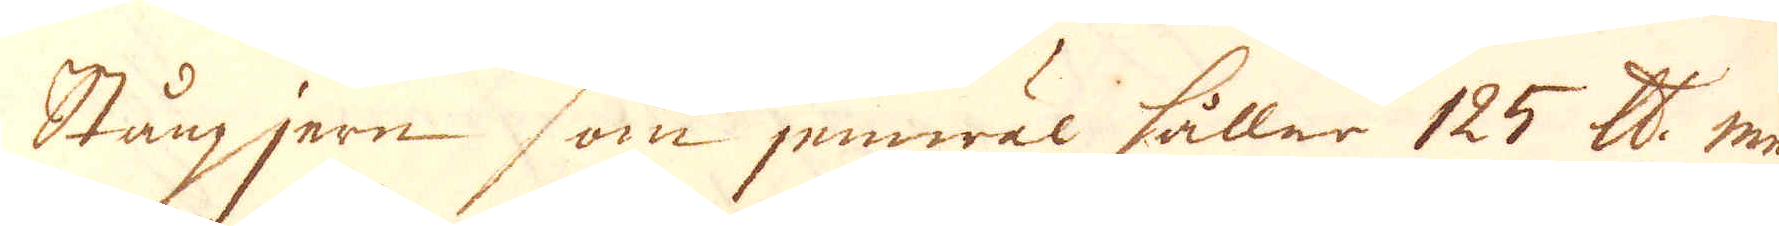Stångjern som jemwäl håller 125 skålpund me
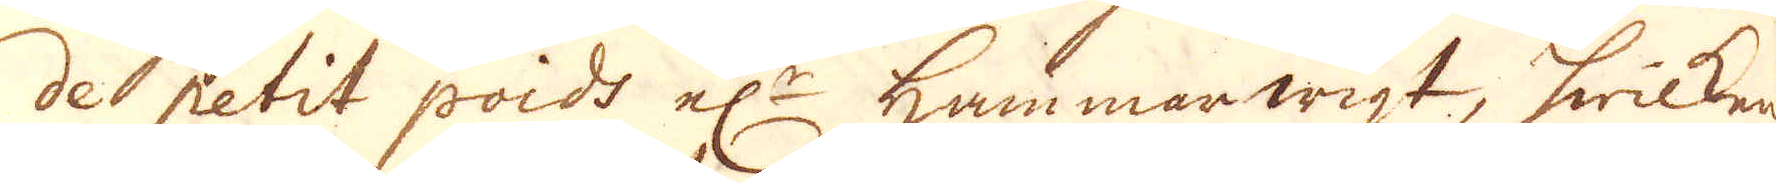de petit poids el:r hammarwigt, hwilket
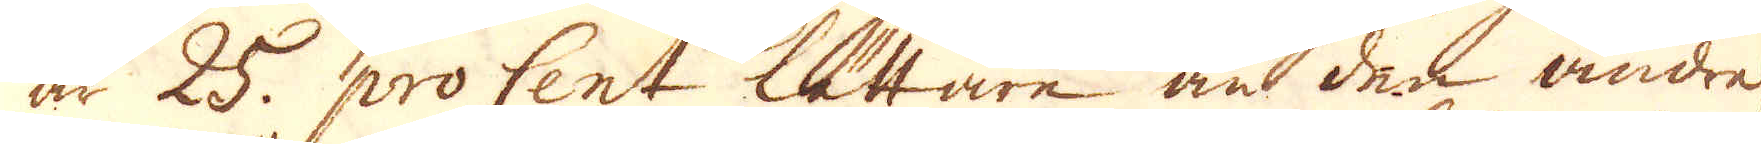är 25. pro Cent lättre än den andre.
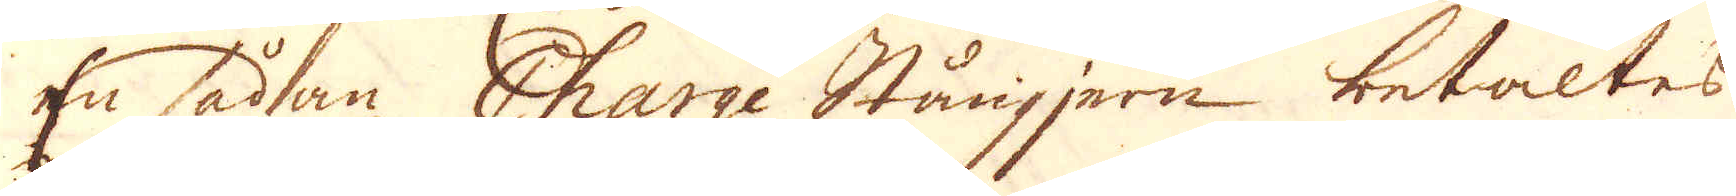En sådan Charge Stångjern betaltes
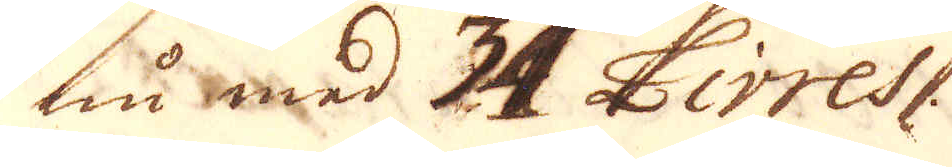nu med 34 Livres.
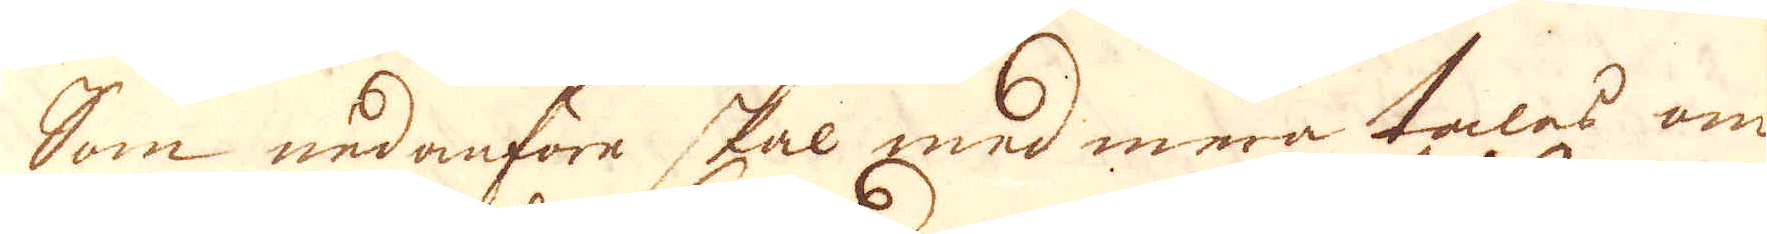Som nedanföre skal med mera tales om
